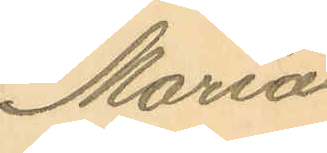Maria
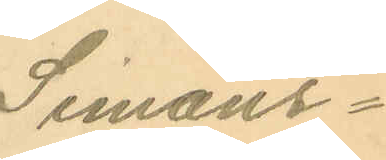Simons¬
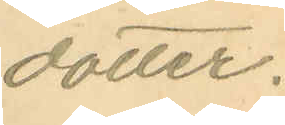dotter.
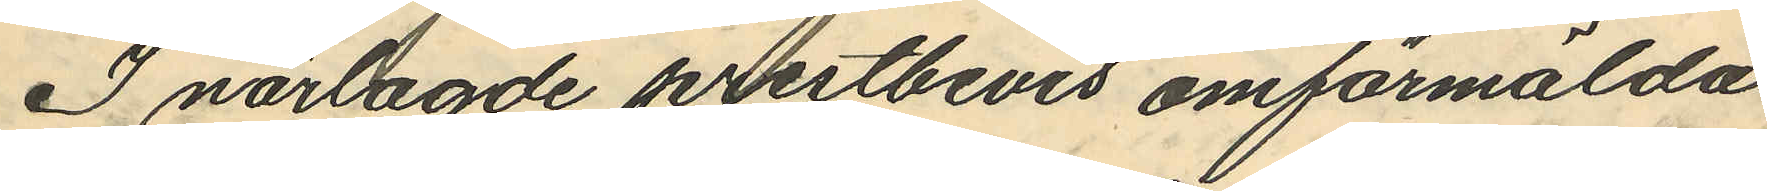I närlagde prestbevis omförmälda
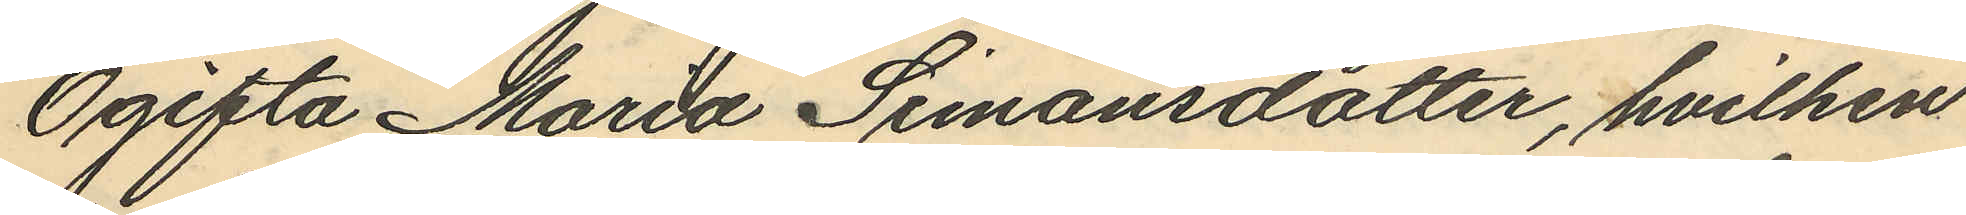Ogifta Maria Simonsdotter, hvilken
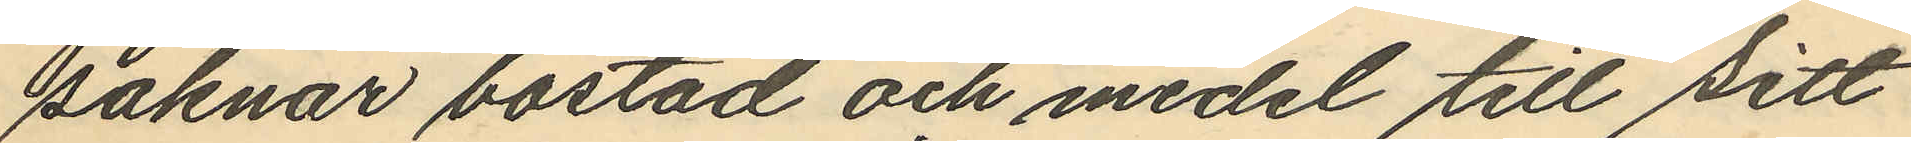saknar bostad och medel till sitt
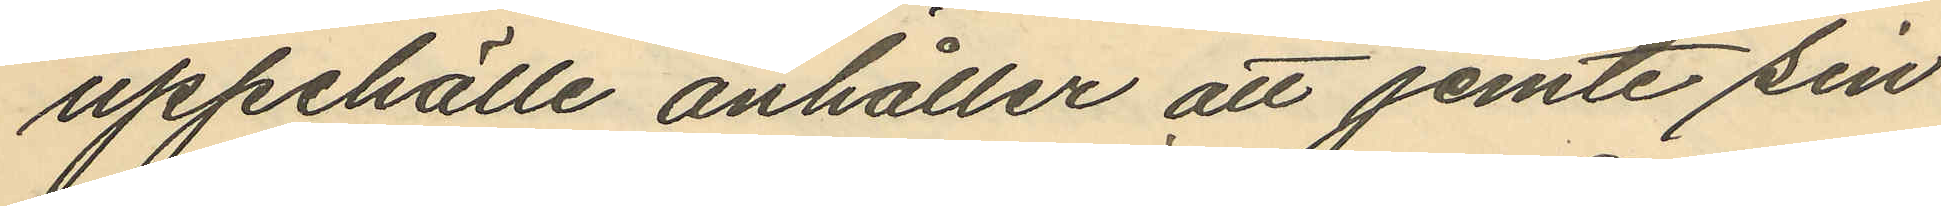uppehälle anhåller att jemte sin
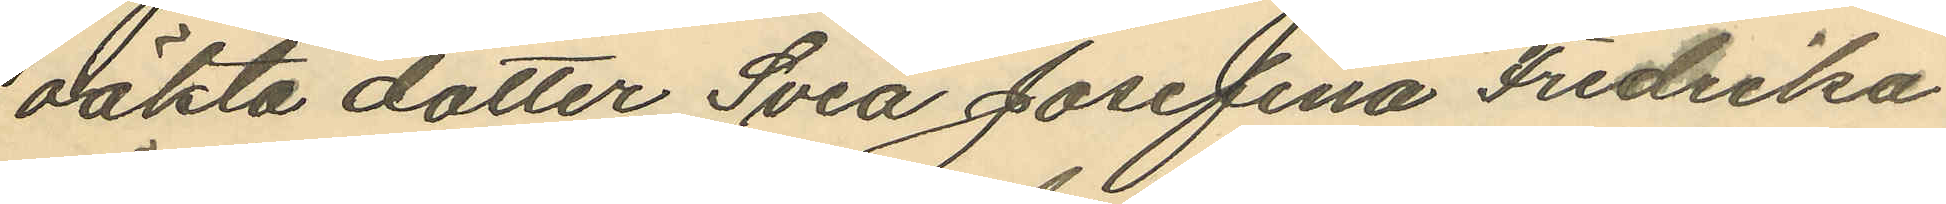oäkta dotter Svea Josefina Fredrika
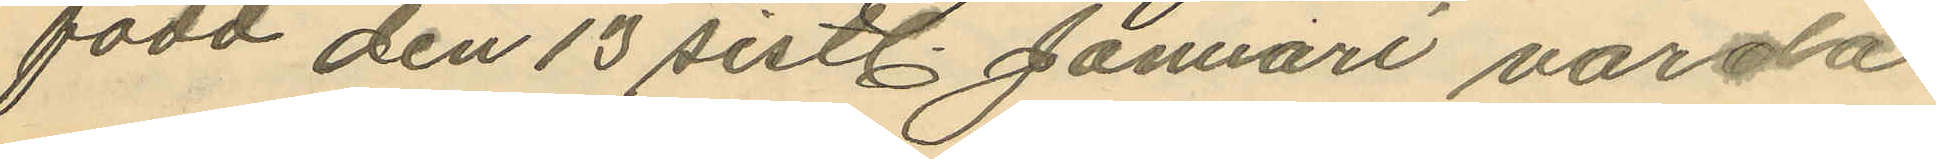född den 13 sistl. Januari varda
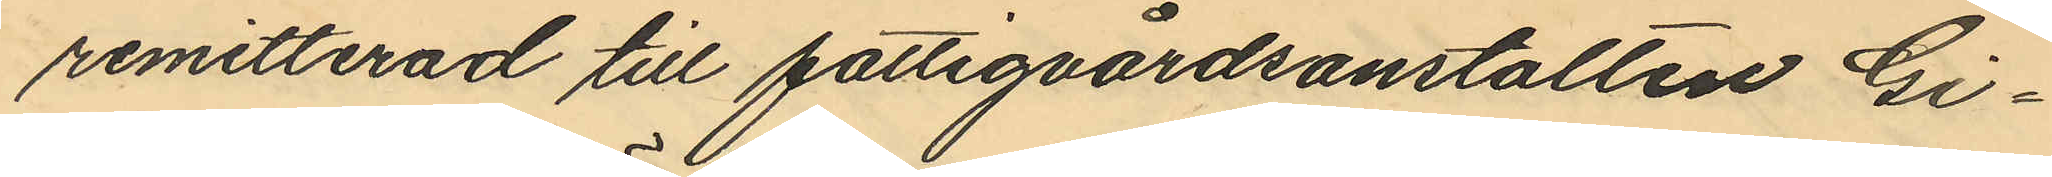remitterad till fattigvårdsanstalten Gi¬
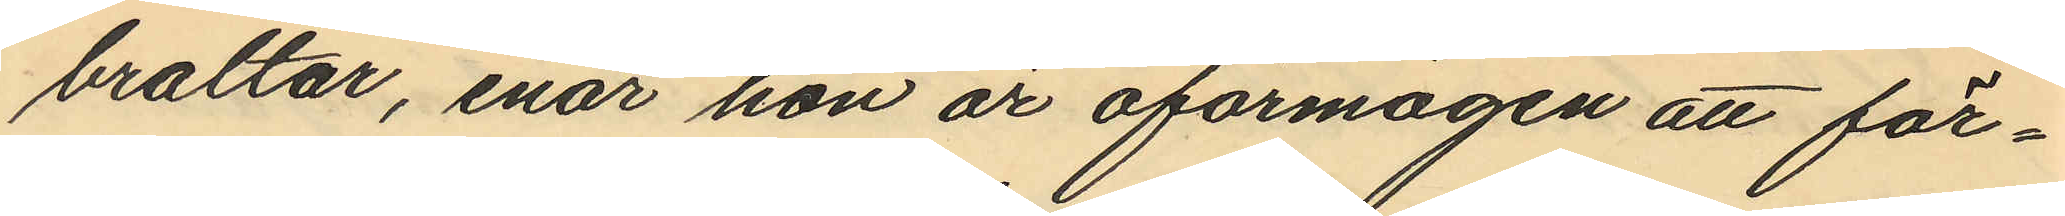braltar, enär hon är oförmögen att för¬
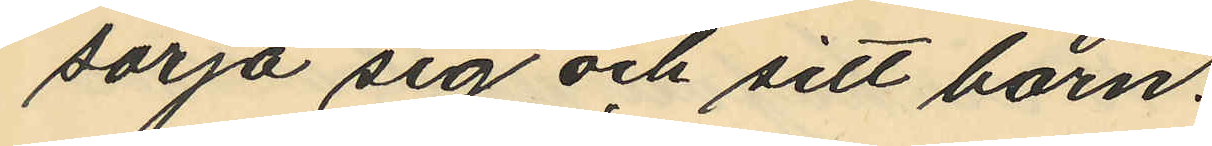sörja sig och sitt barn.
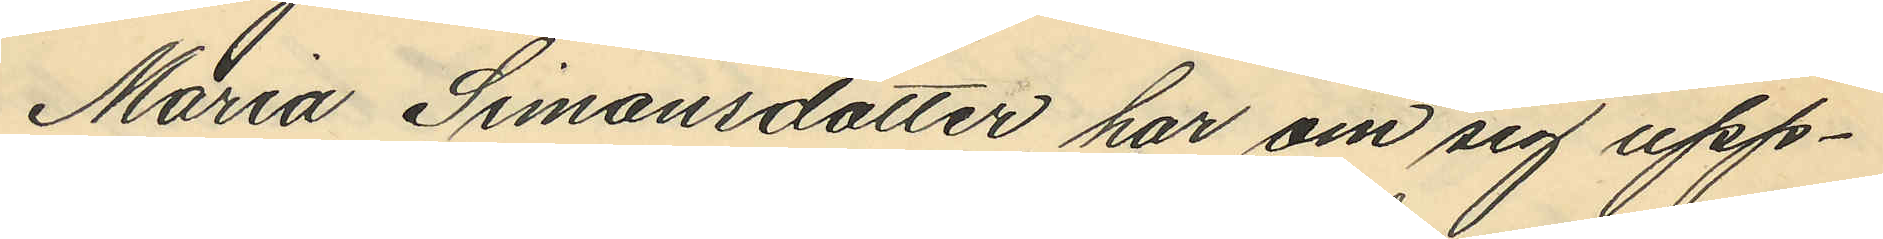Maria Simonsdotter har om sig upp¬
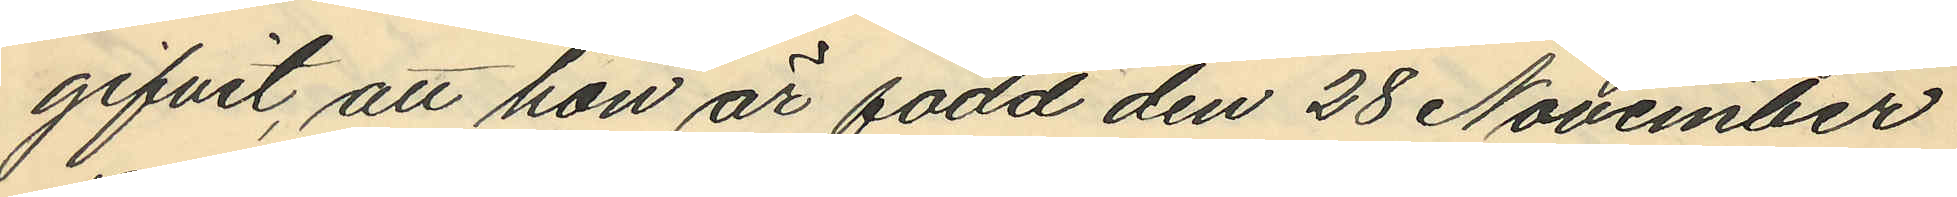gifvit, att hon är född den 28 November
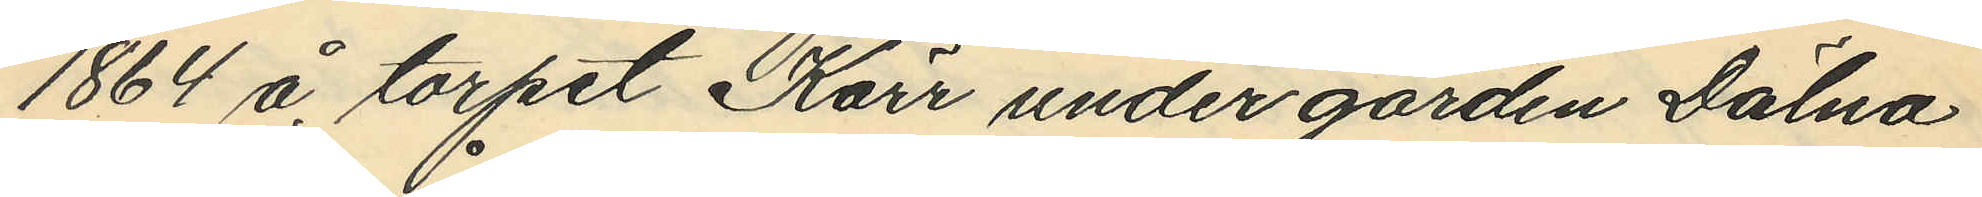1864 å torpet Kärr under gården Dälna
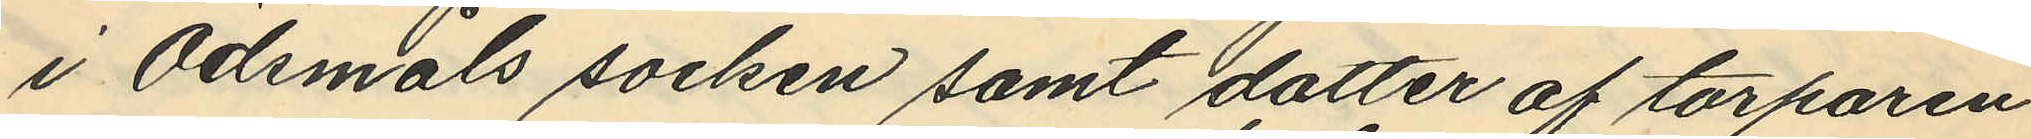i Ödmåls socken samt dotter af torparen
